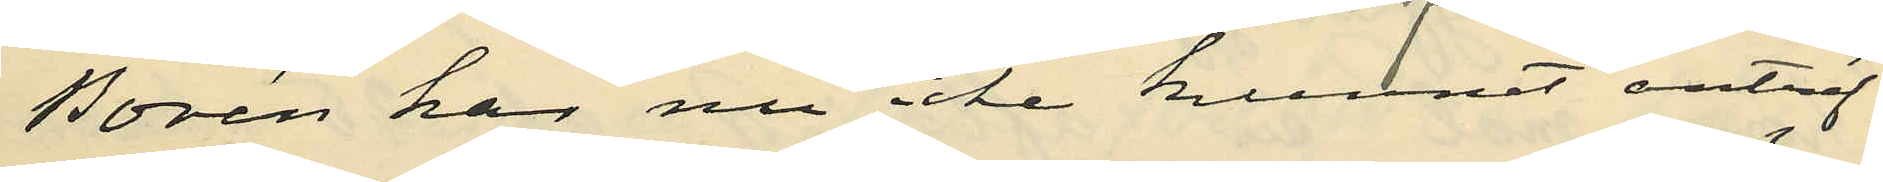Borén har nu icke kunnat anträf¬
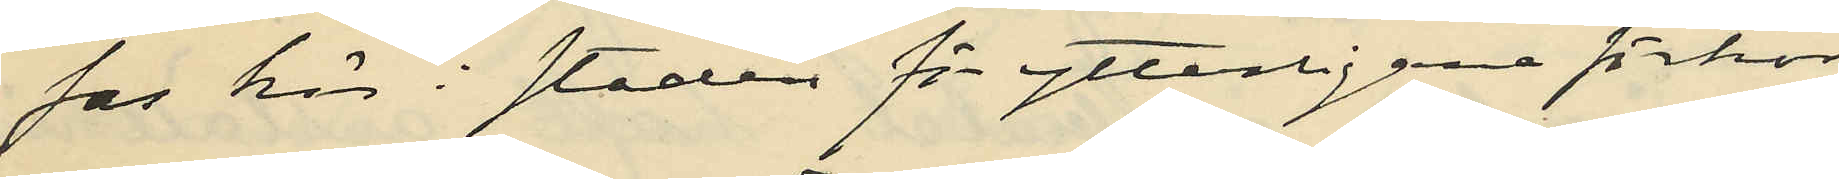fas här i staden för ytterligare förhör,
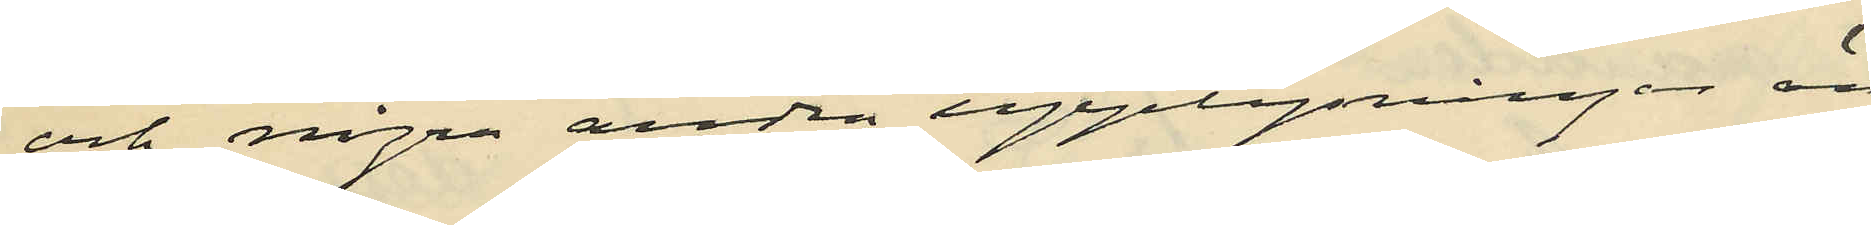och några andra upplysningar än
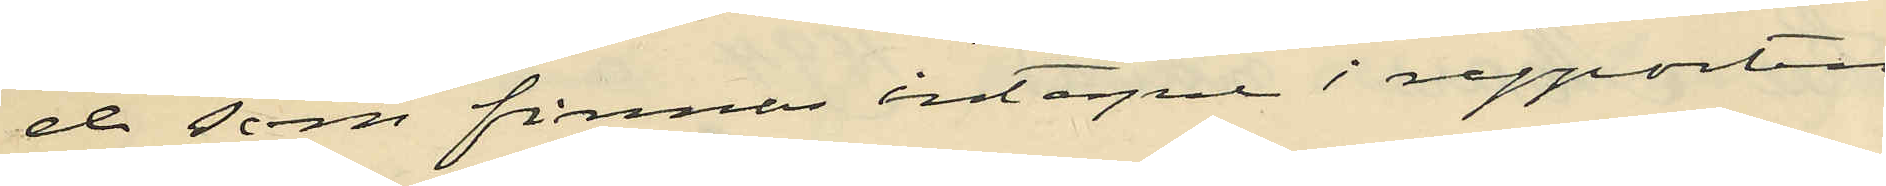de som finnes intagna i rapporten
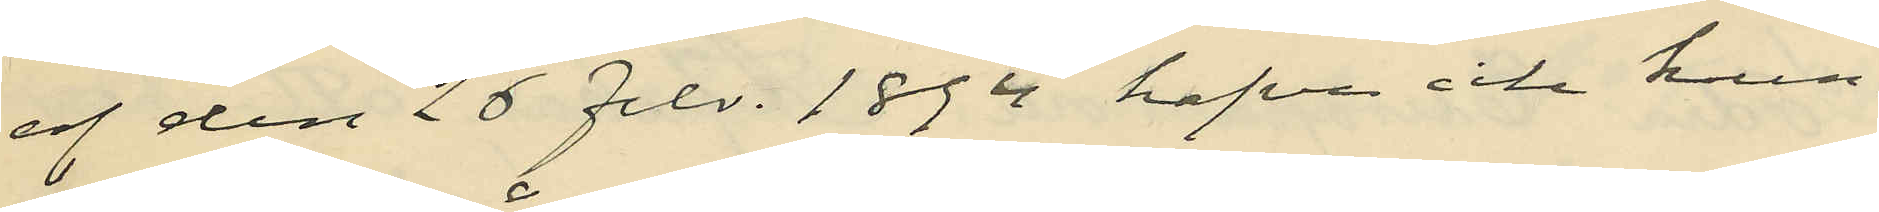af den 26 febr. 1894 hafva icke kun¬
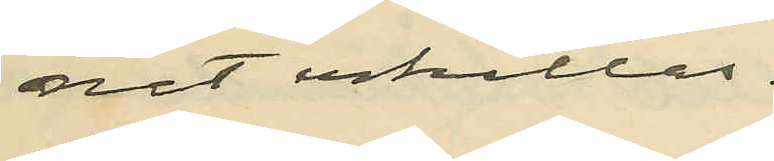nat erhållas.
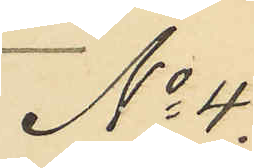No 4.
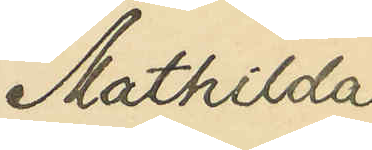Mathilda
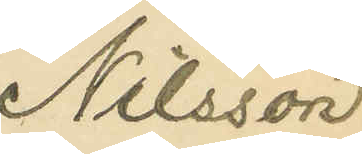Nilsson
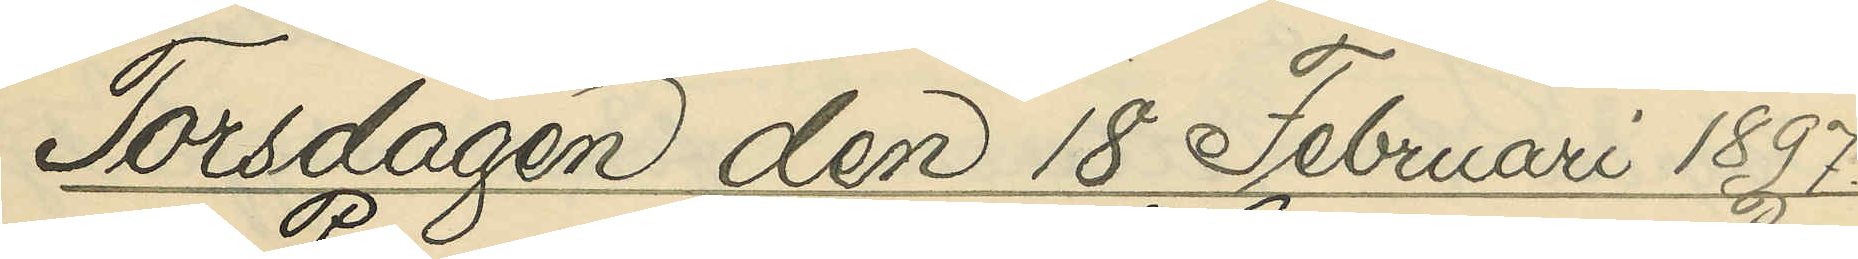Torsdagen den 18 Februari 1897.
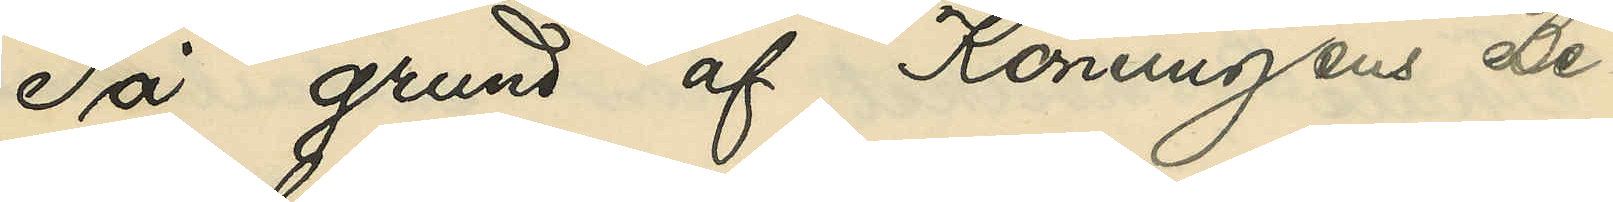På grund af Konungens Be¬
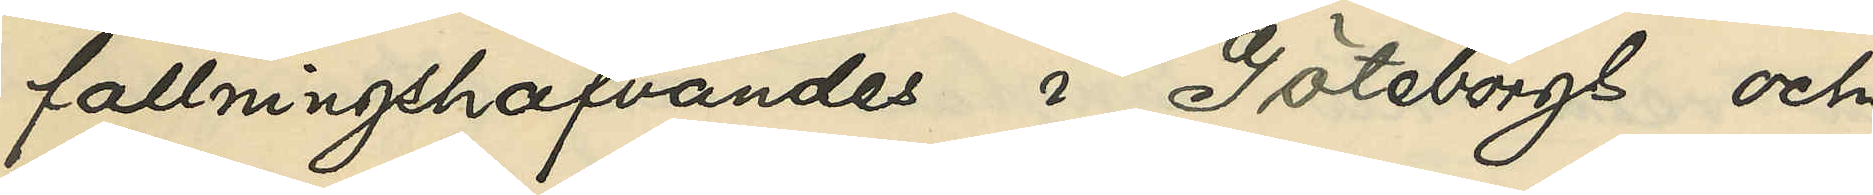fallningshafvandes i Göteborgs och
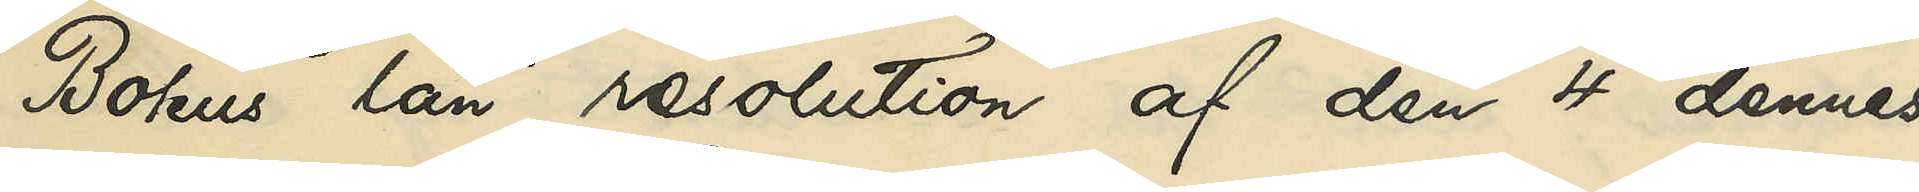Bohus län resolution af den 4 dennes
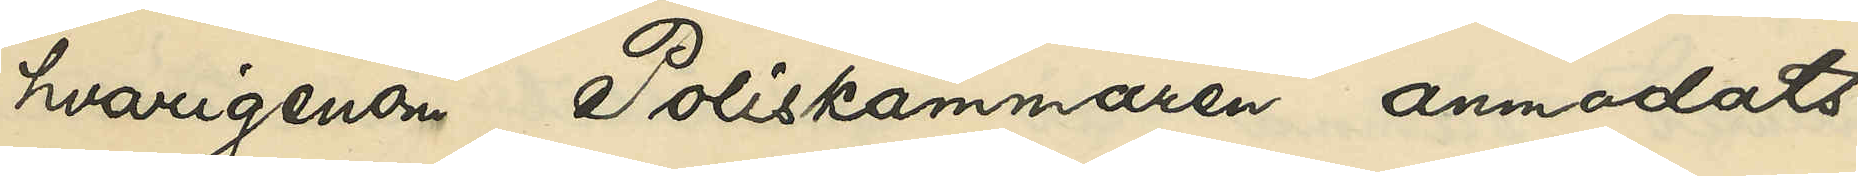hvarigenom Poliskammaren anmodats
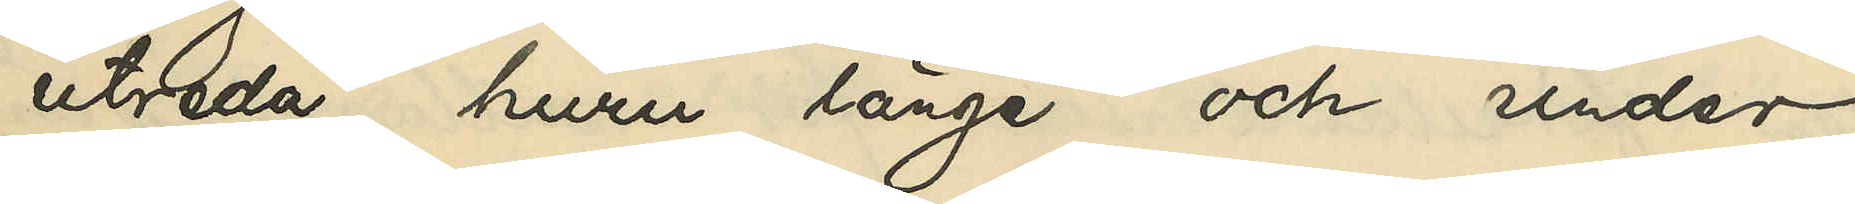utreda, huru länge och under
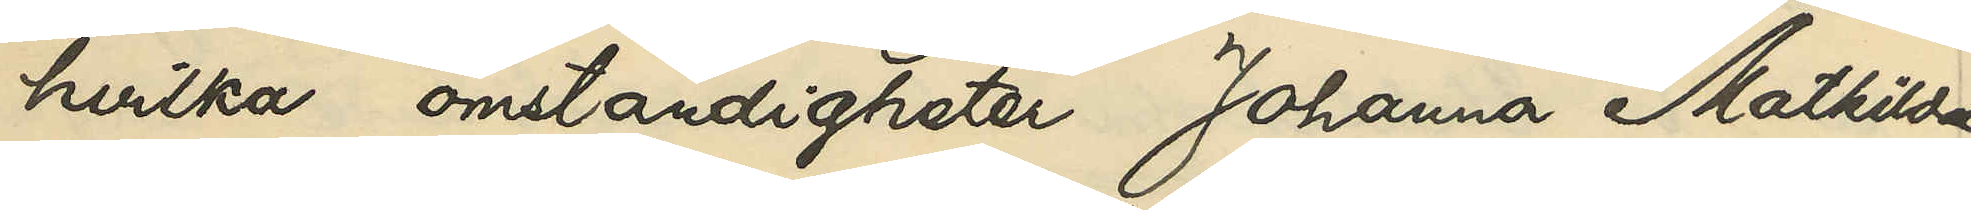hvilka omständigheter Johanna Mathilda
